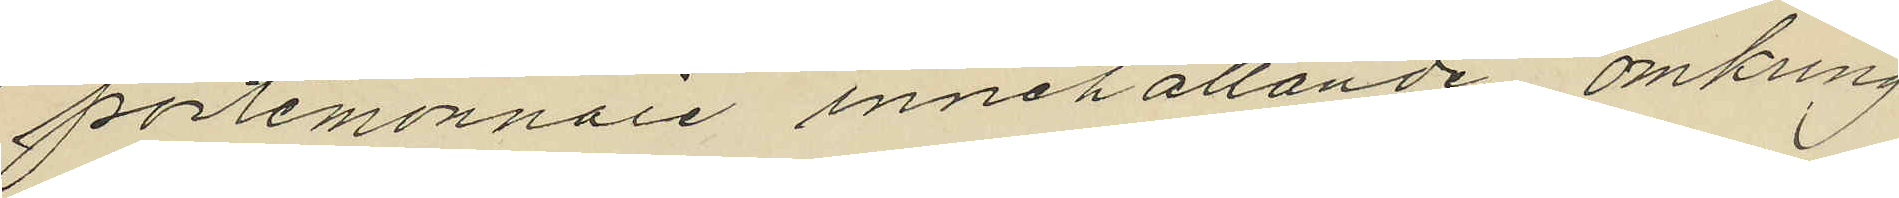portemonnaie innehållande omkring
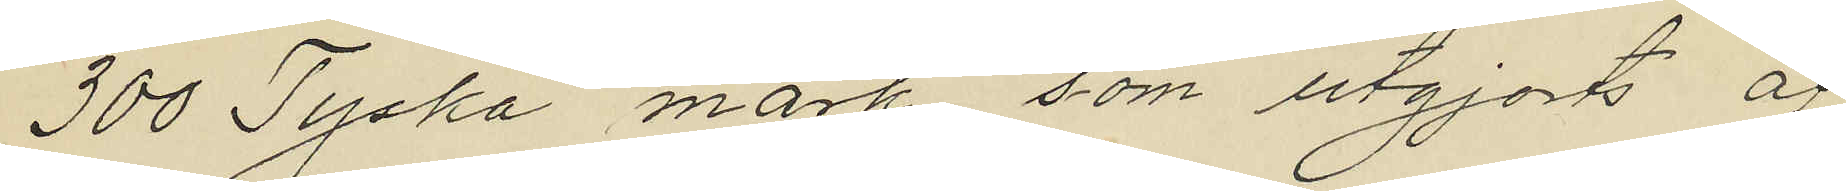300 Tyska mark som utgjorts af
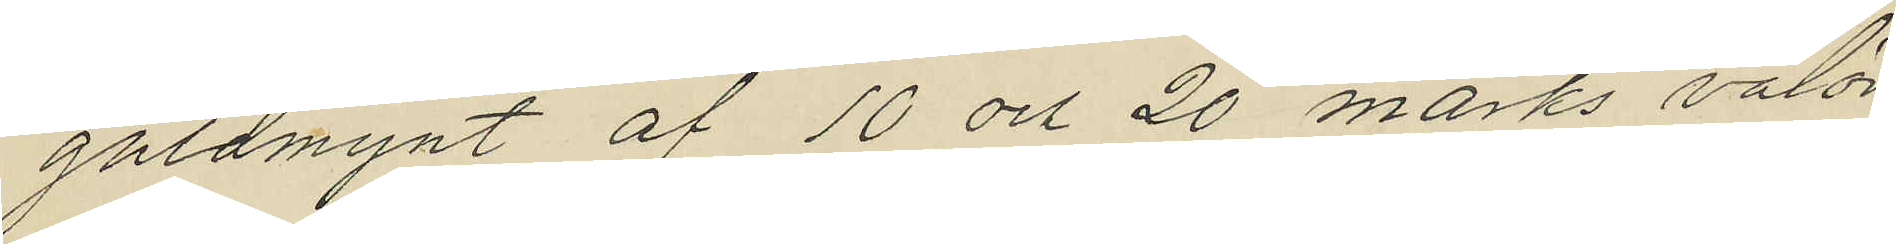guldmynt af 10 och 20 marks valör
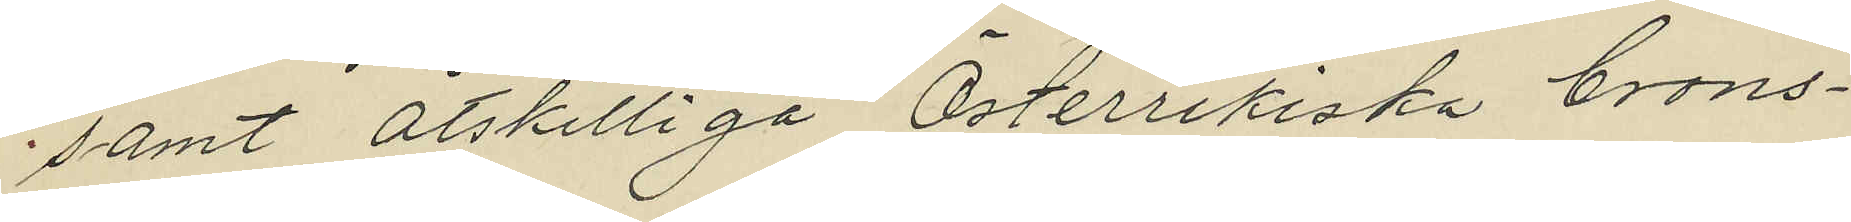samt åtskilliga Österrikiska brons¬
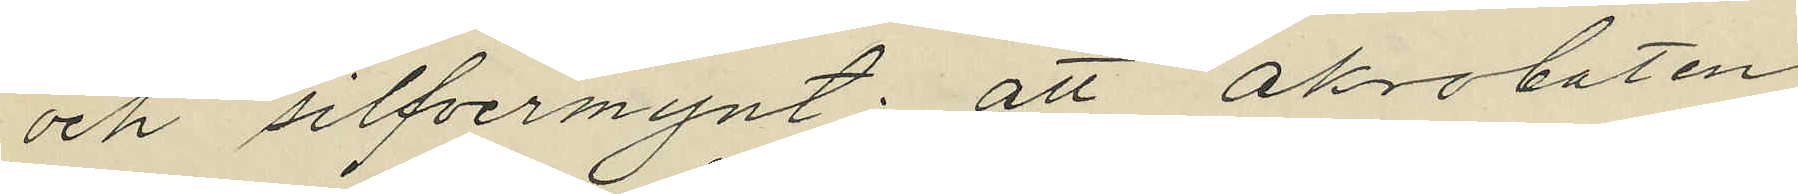och silfvermynt; att akrobaten
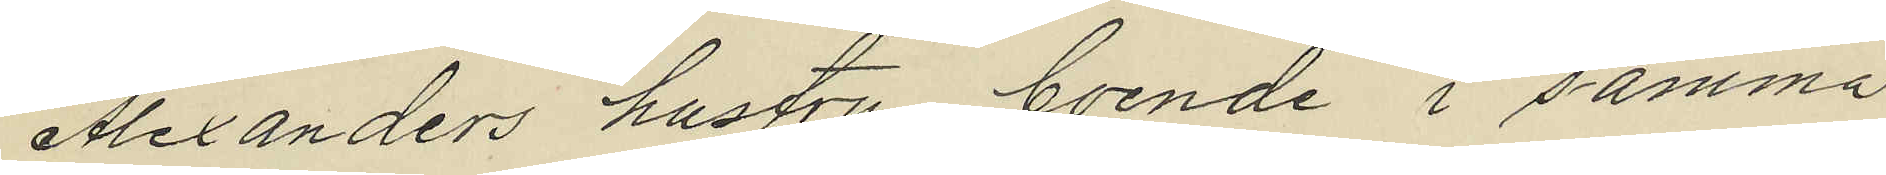Alexanders hustru boende i samma
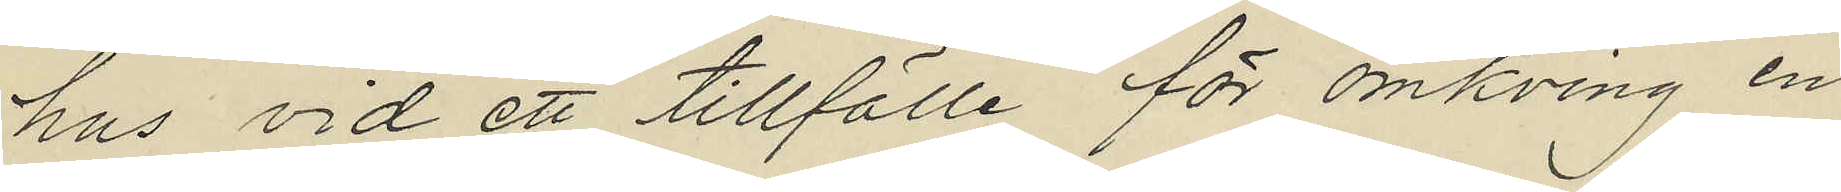hus vid ett tillfälle för omkring en
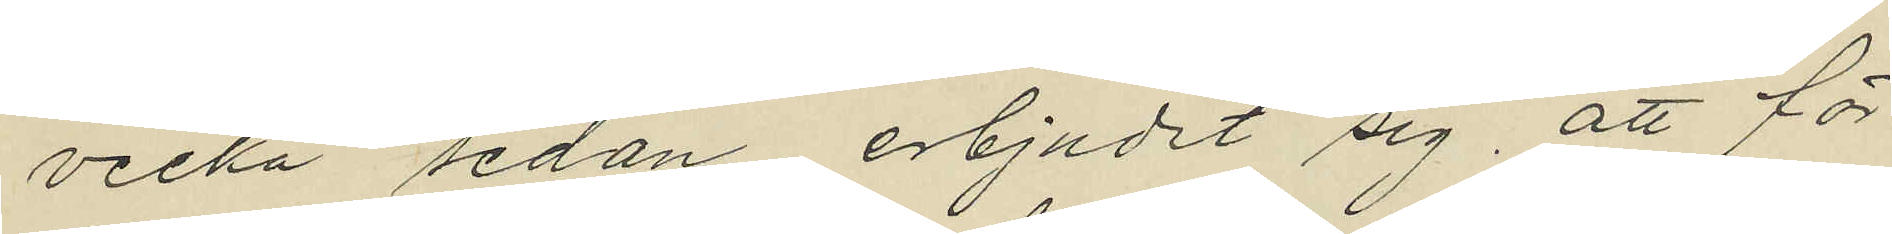vecka sedan erbjudit sig, att för
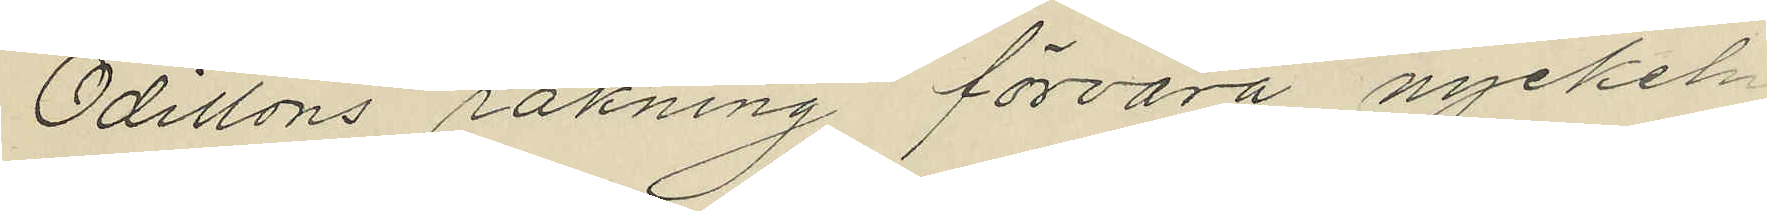Odillons räkning förvara nyckeln
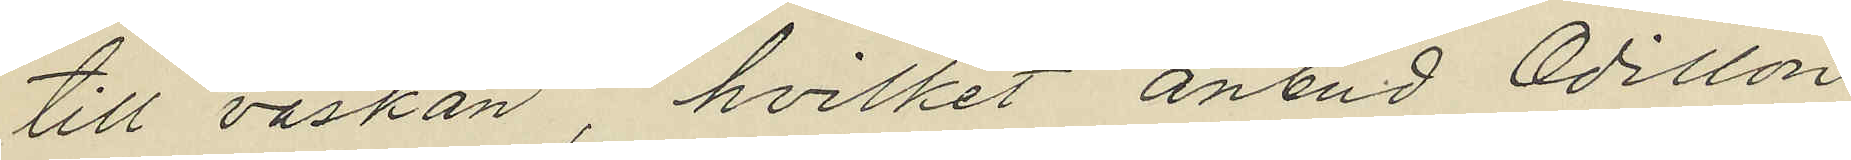till väskan hvilket anbud Odillon
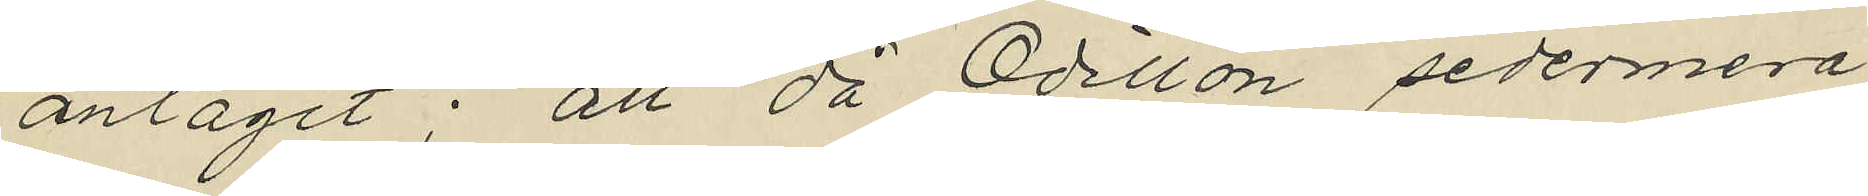antagit; att då Odillon sedermera
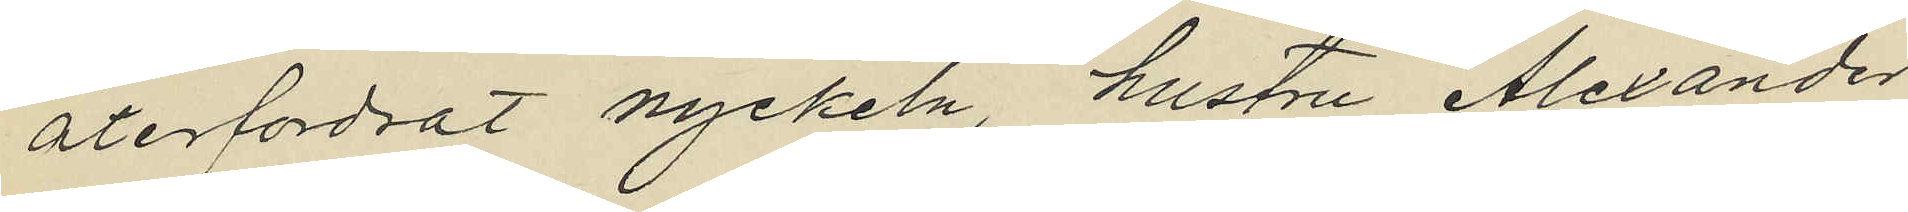återfordrat nyckeln, hustru Alexander
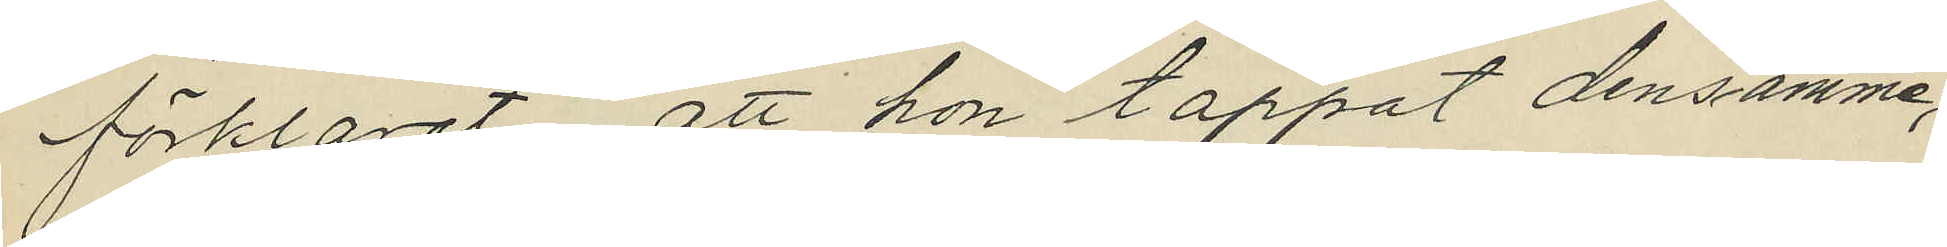förklarat, att hon tappat densamma,
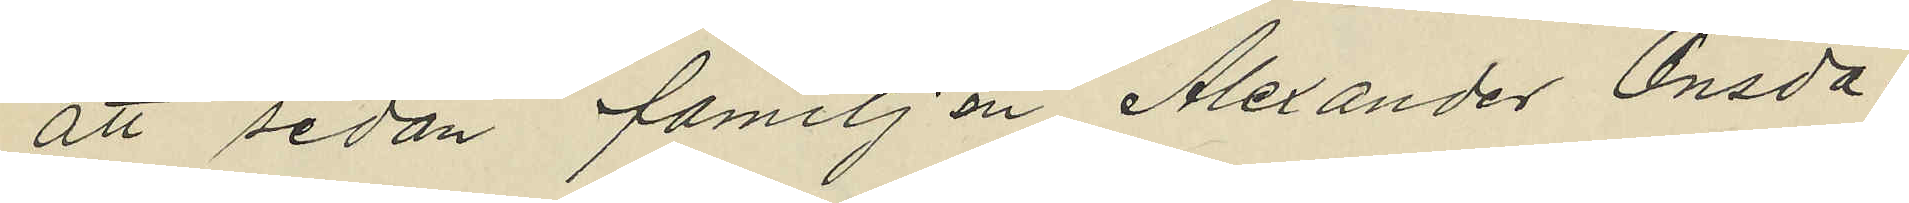att sedan familjen Alexander Onsda¬
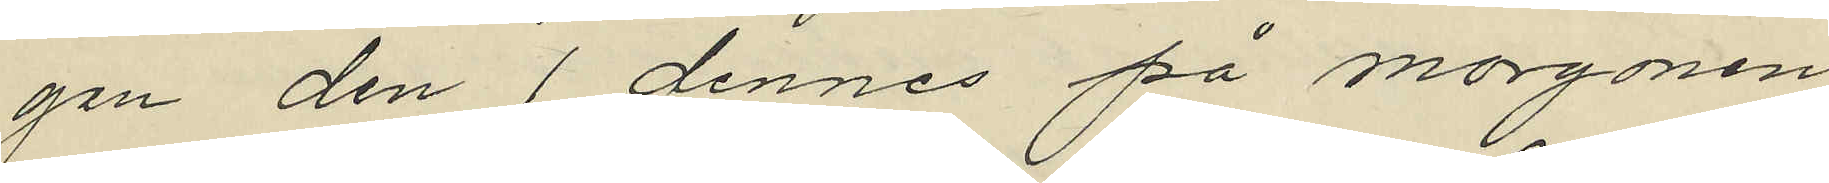gen den 1 dennes på morgonen
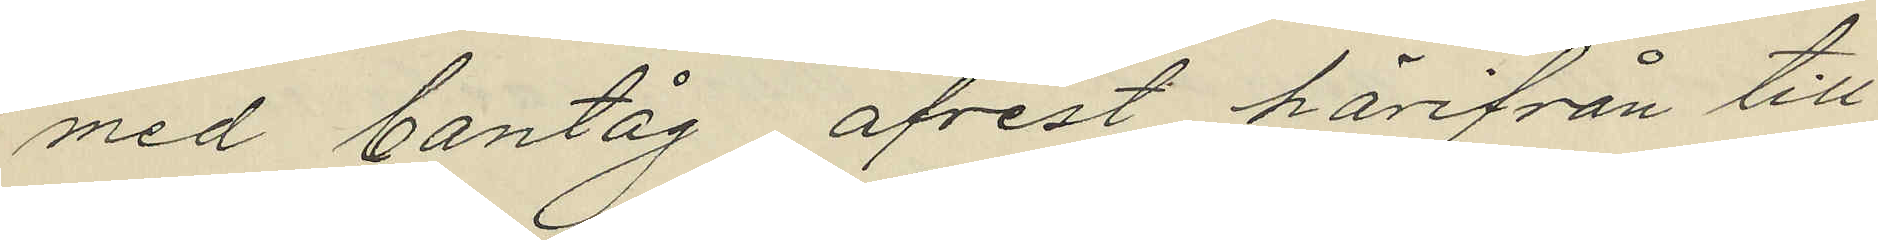med bantåg afrest härifrån till
